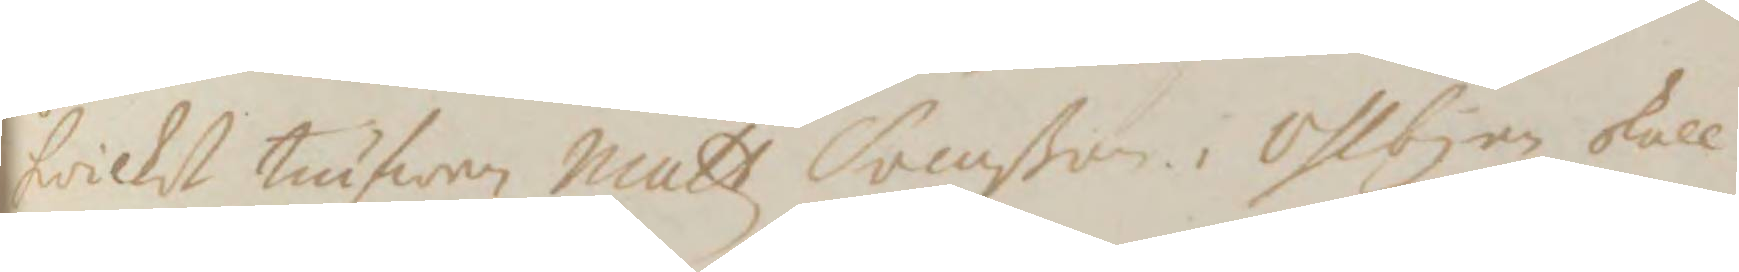hwilket tiufwen Matz Svenßon i Ossbyn skall
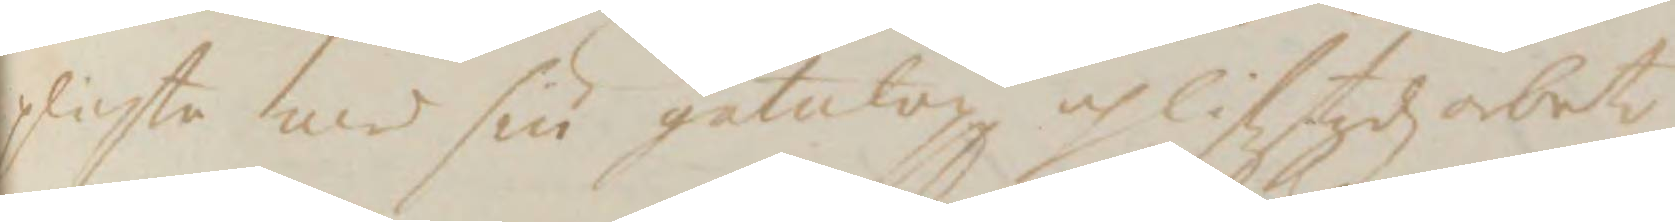plichta med siu gatulop oh liffztydz arbete
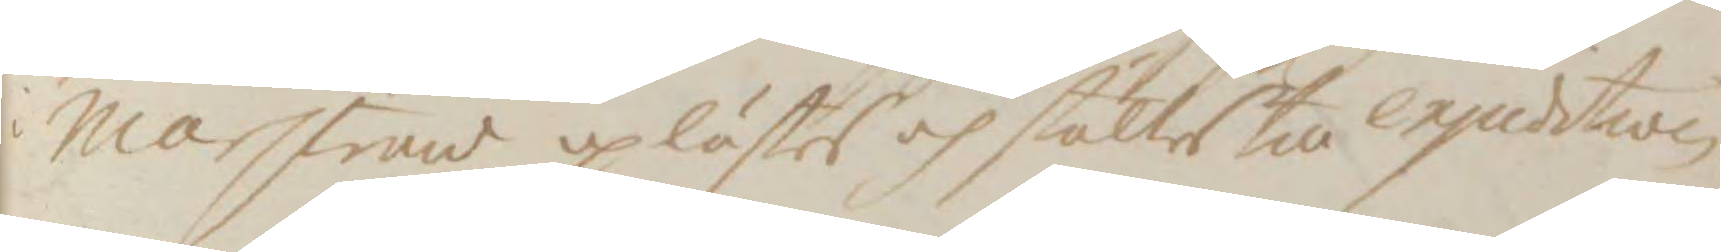i Marstrand uplästes och stältes till exjudistion
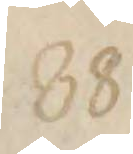88.
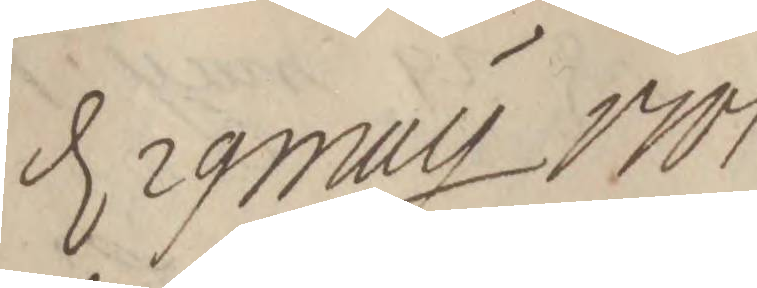d. 29 May 1701
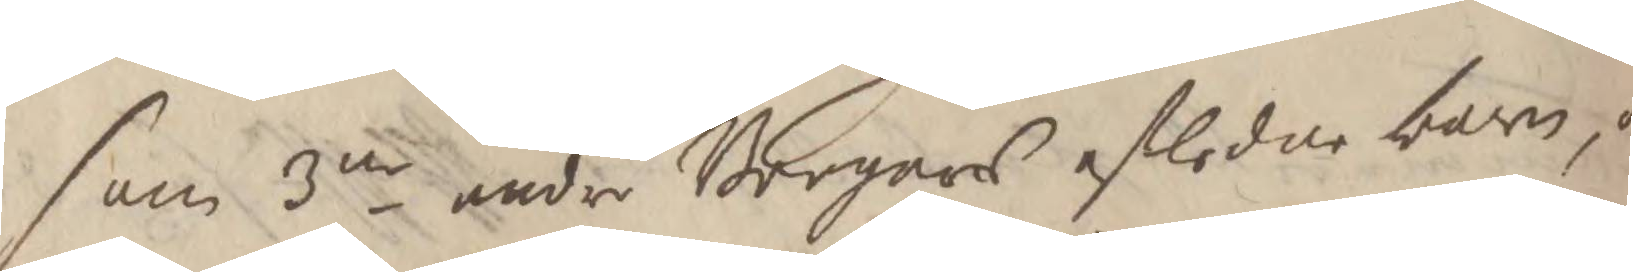som 3ne andre Borgares afledne barn, o
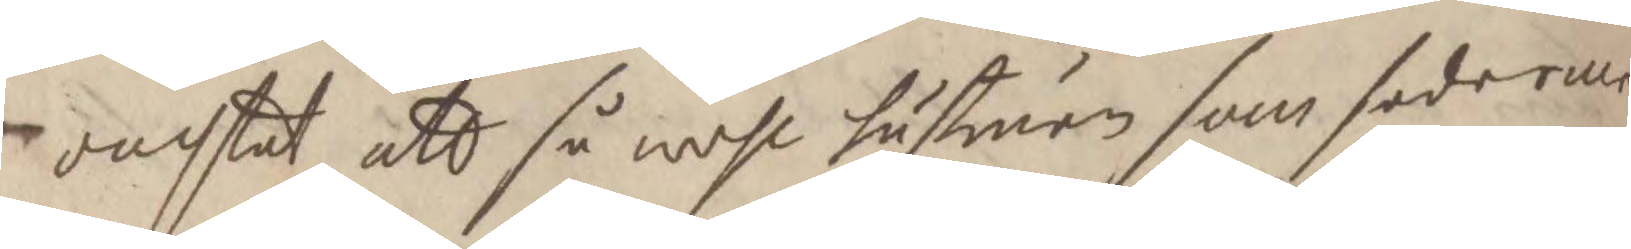oachtat att så wehl hustruen som sederme
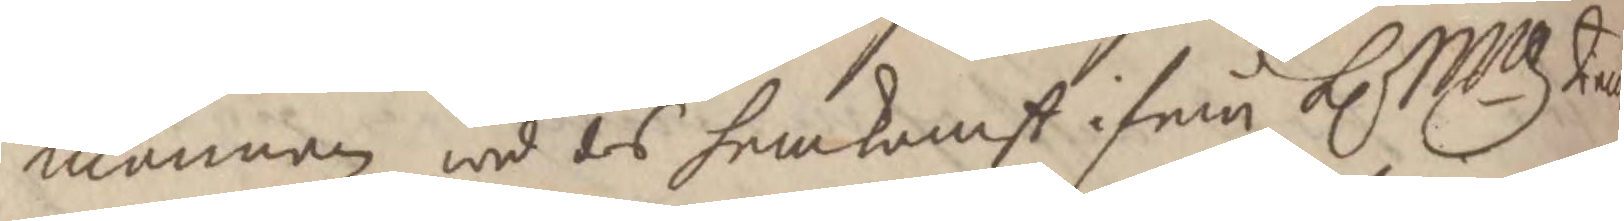mannen wid des hemkonst ifrån K. Mtz Tien
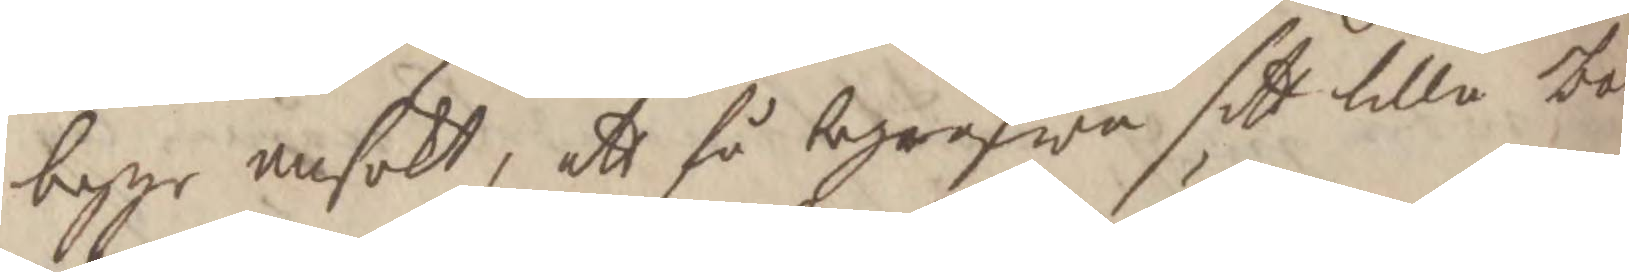begge ansökt, att få begrafwa sitt lilla ba
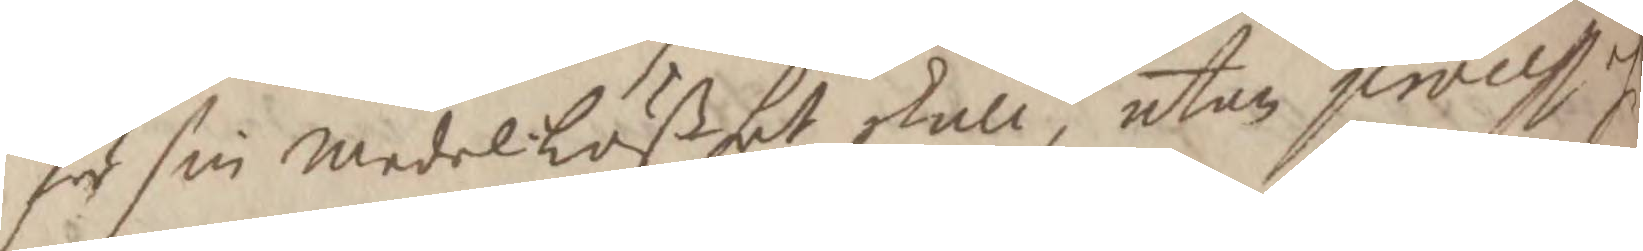för sin MedelLößhet skull, utan process och
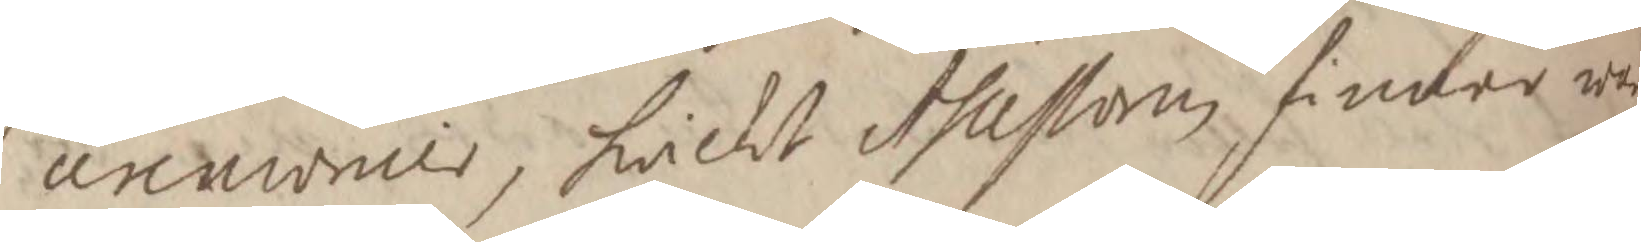ceremonier, hwilket Assessoren finner wa
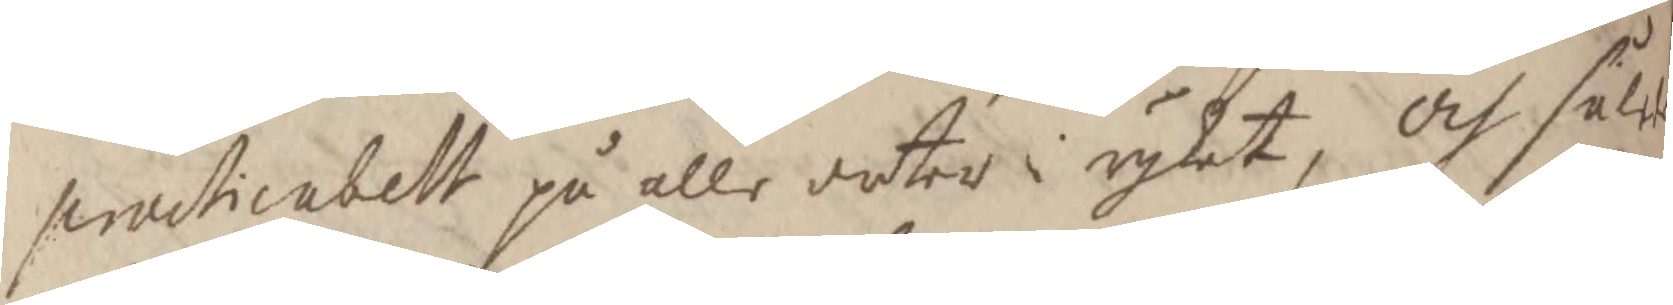practicabelt på alle orter i rijket, Och såled
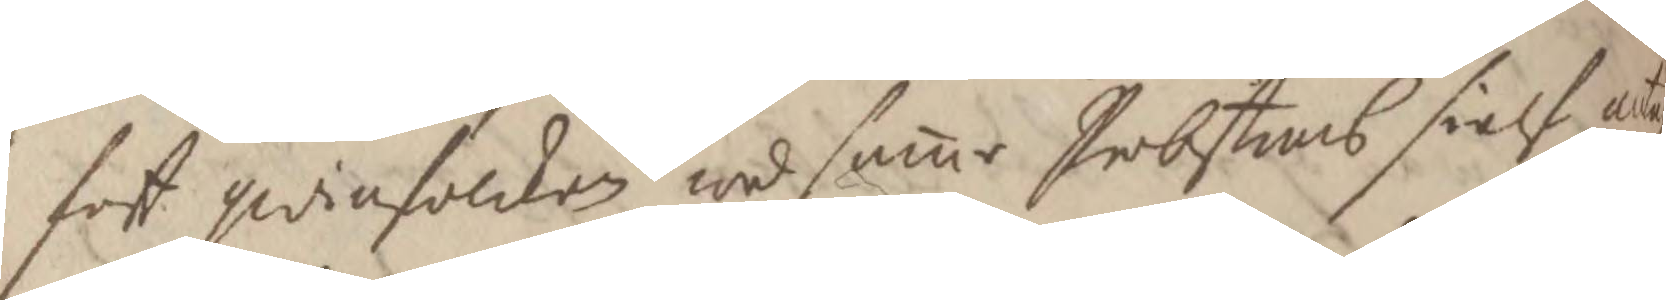fott qwinfolcken wid samme Probstens sielf anta
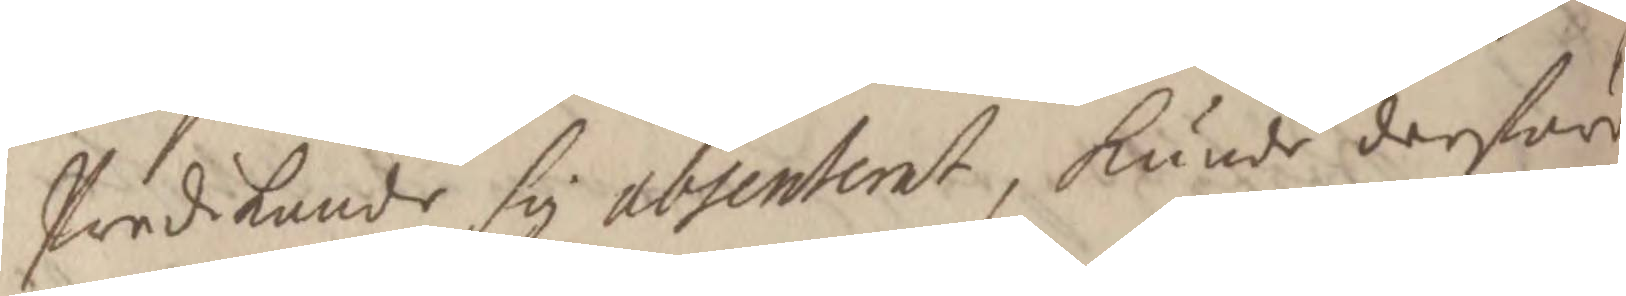Predikande sig absenterat, Kunde derföre
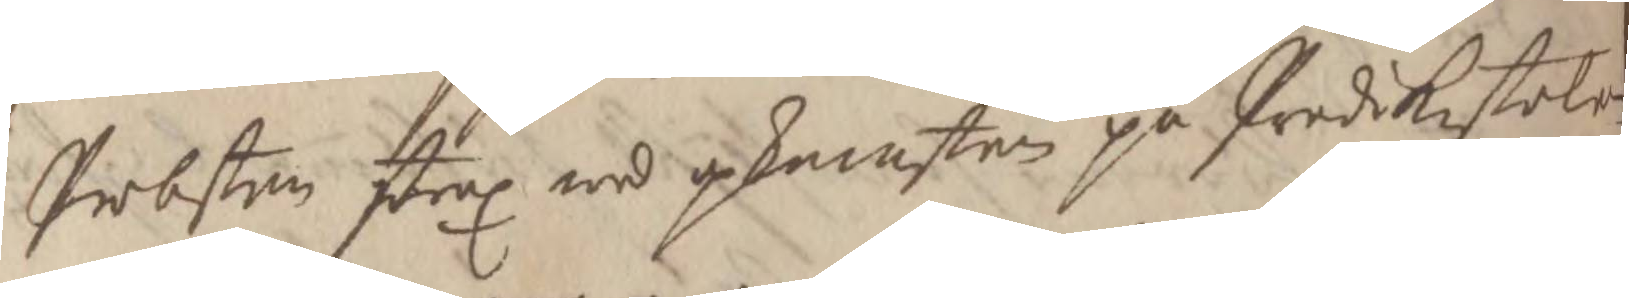Probsten strax wid upkomsten på Predikestolen
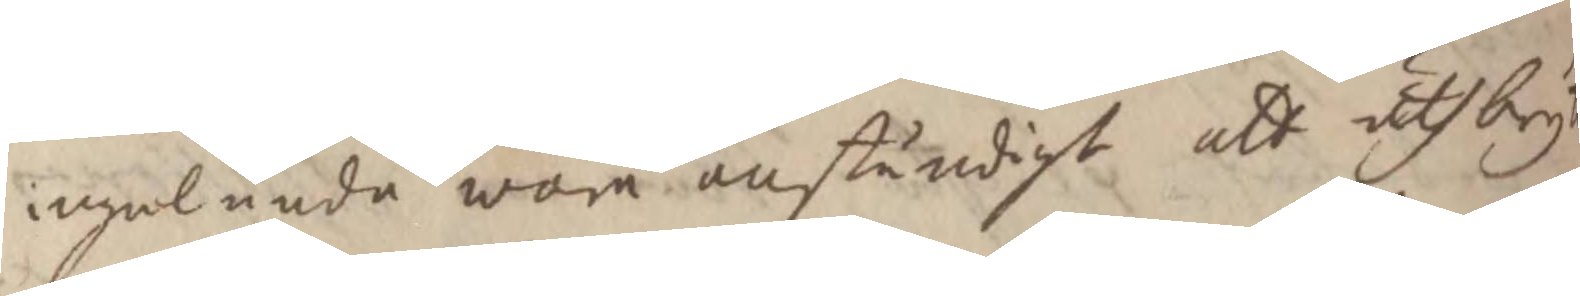ingalunda wara anständigt at uthbryta
